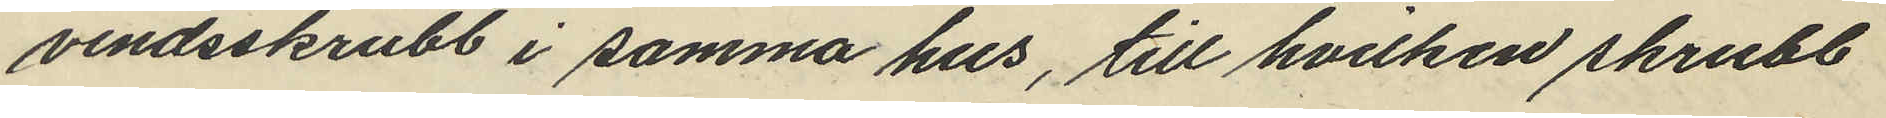vindsskrubb i samma hus, till hvilken skrubb
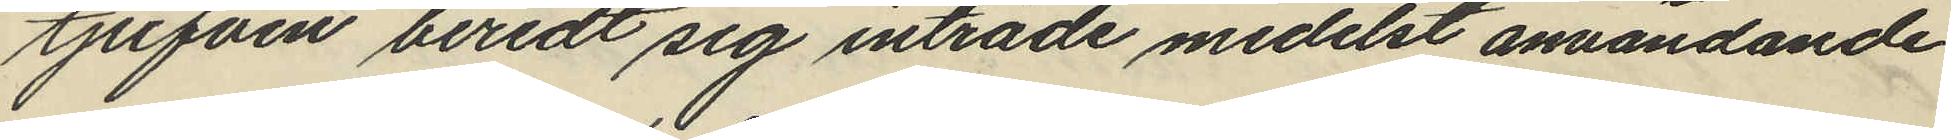tjufven beredt sig inträde medelst användande
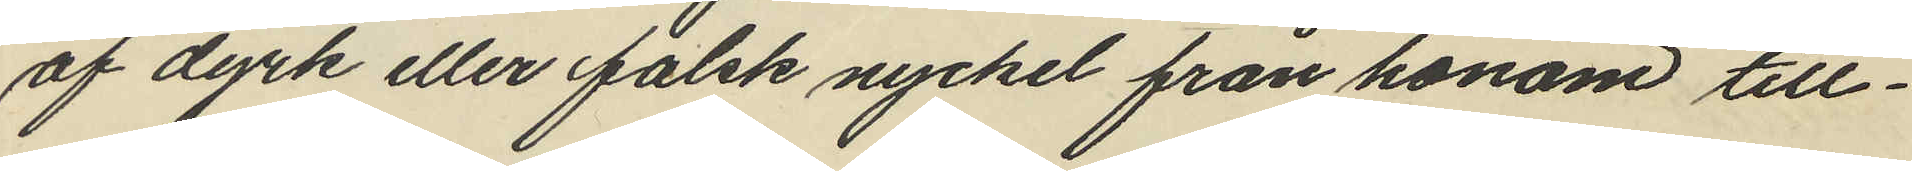af dyrk eller falsk nyckel från honom till¬
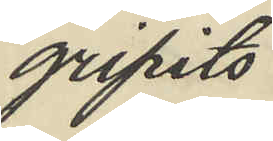gripits
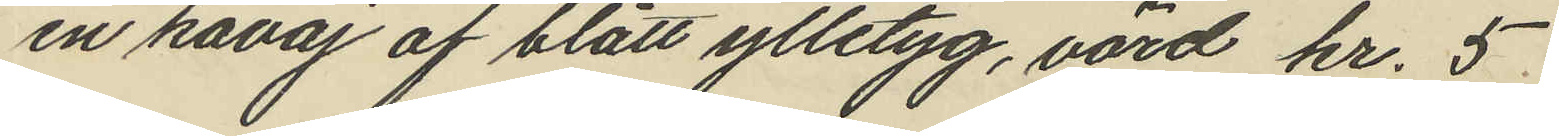en kavaj af blått ylletyg, värd kr. 5
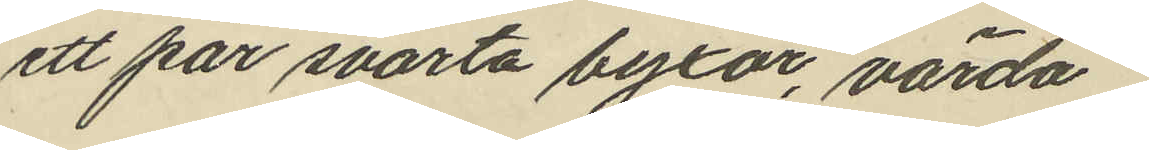ett par svarta byxor, värda
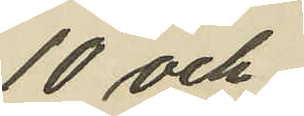10 och
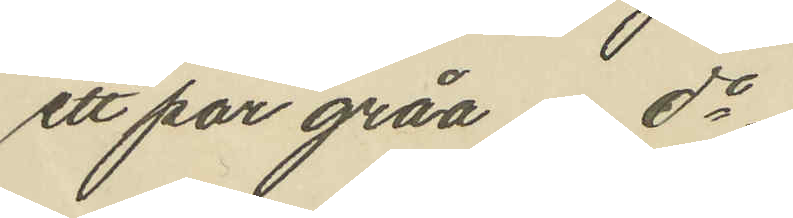ett par gråa do
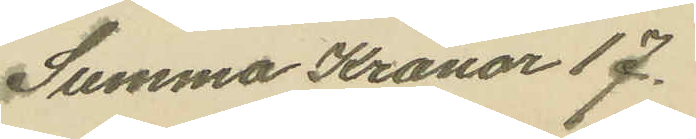Summa Kronor 17.
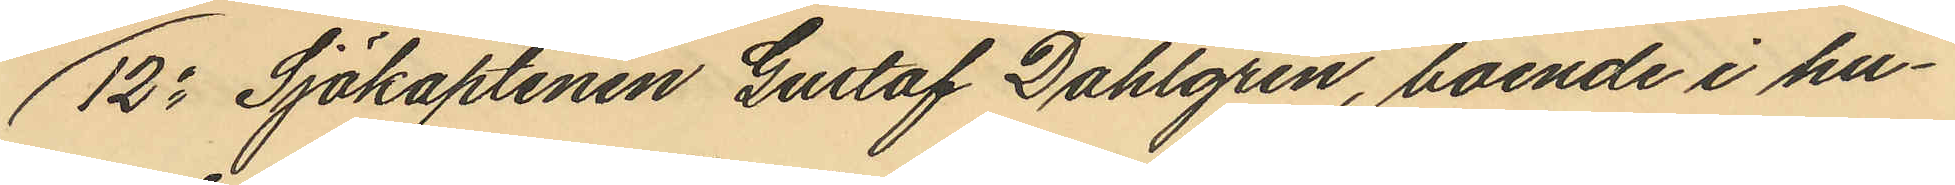12o Sjökaptenen Gustaf Dahlgren, boende i hu¬
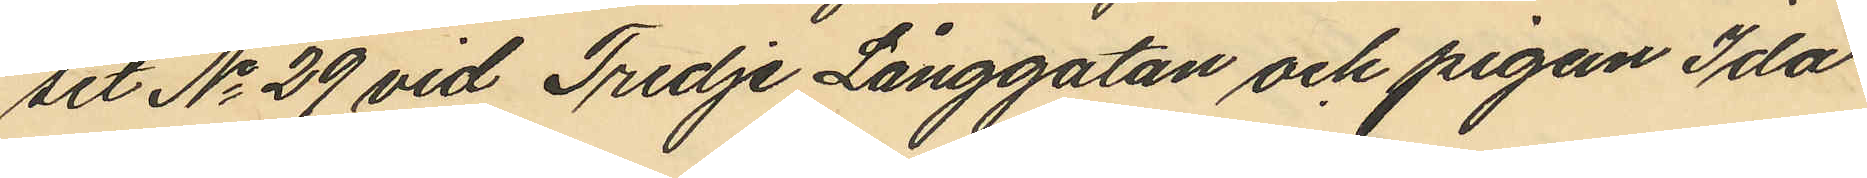set No 29 vid Tredje Långgatan och pigan Ida
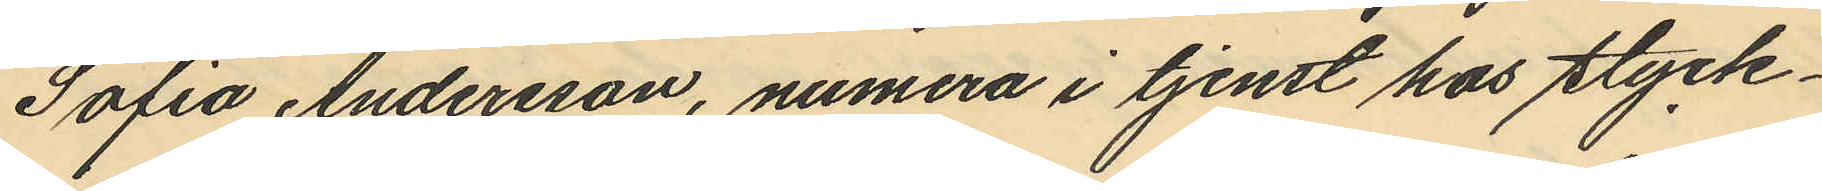Sofia Andersson, numera i tjenst hos styck¬
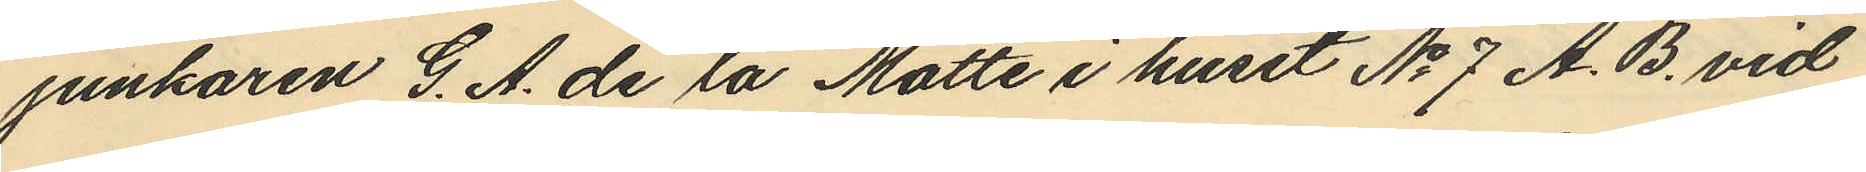junkaren G. A. de la Motte i huset No 7 A. B. vid
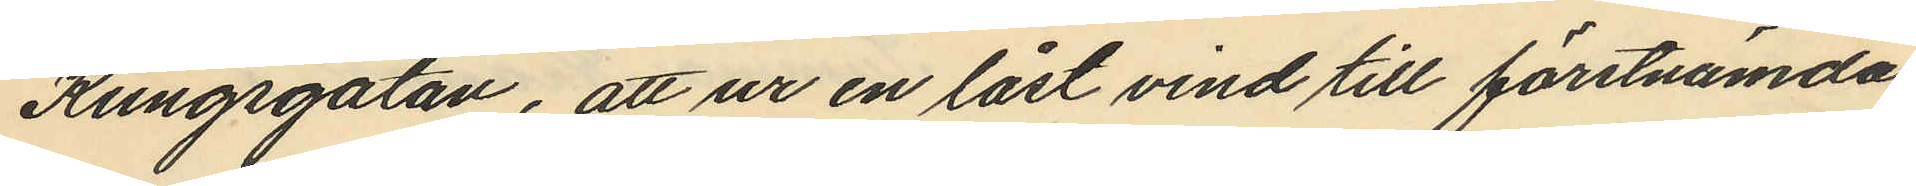Kungsgatan, att ur en låst vind till förstnämda
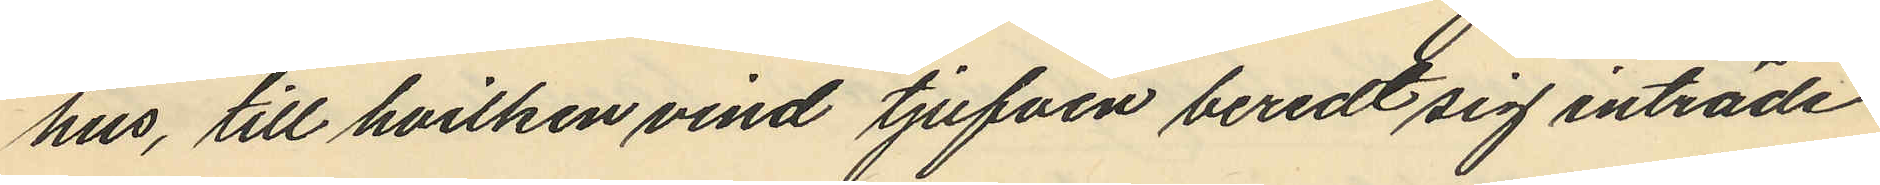hus, till hvilken vind tjufven beredt sig inträde
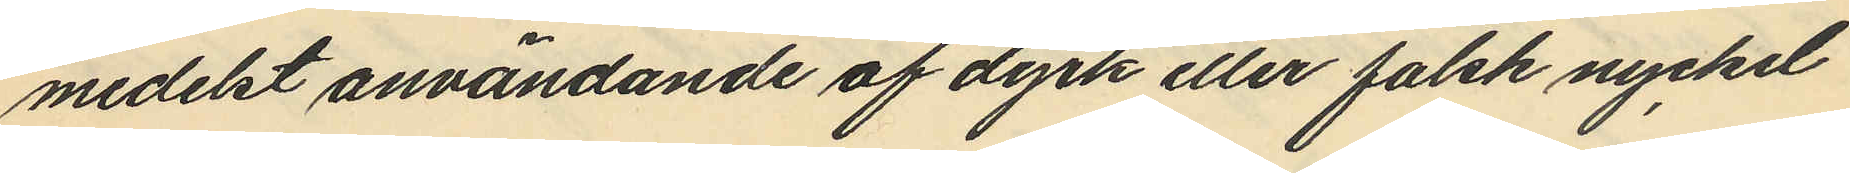medelst användande af dyrk eller falsk nyckel
